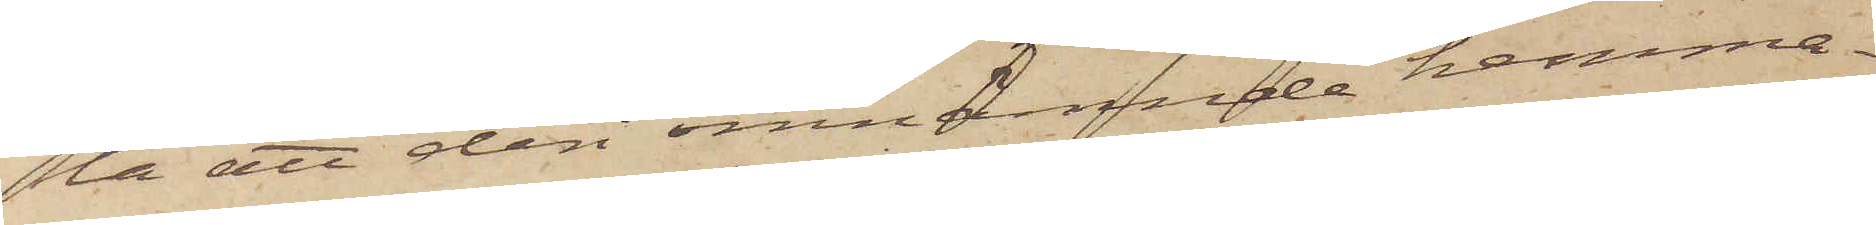la att deri omnämnde hemma¬
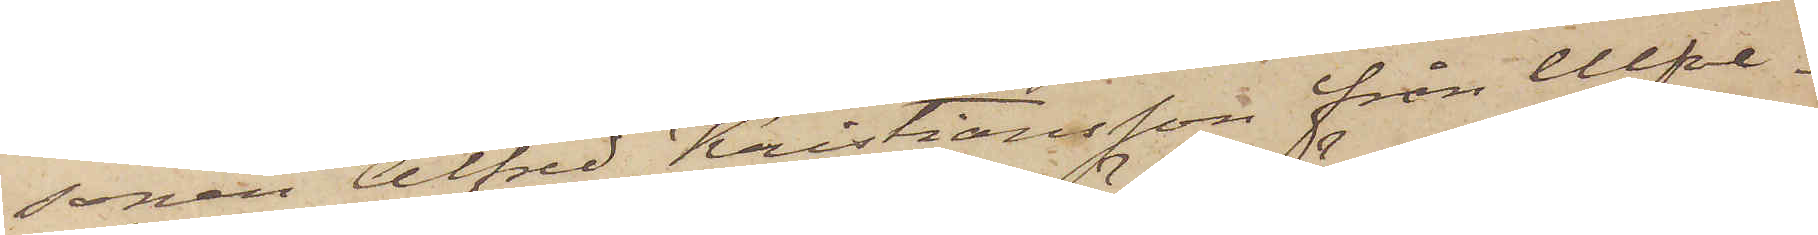sonen Alfred Kristiansson från Ulfve¬
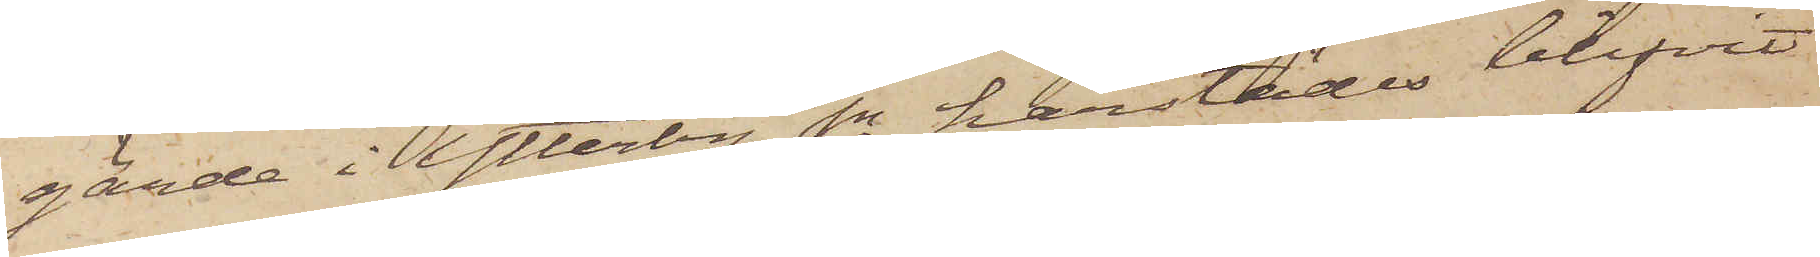gärde i Ytterby sn härstädes blifvit
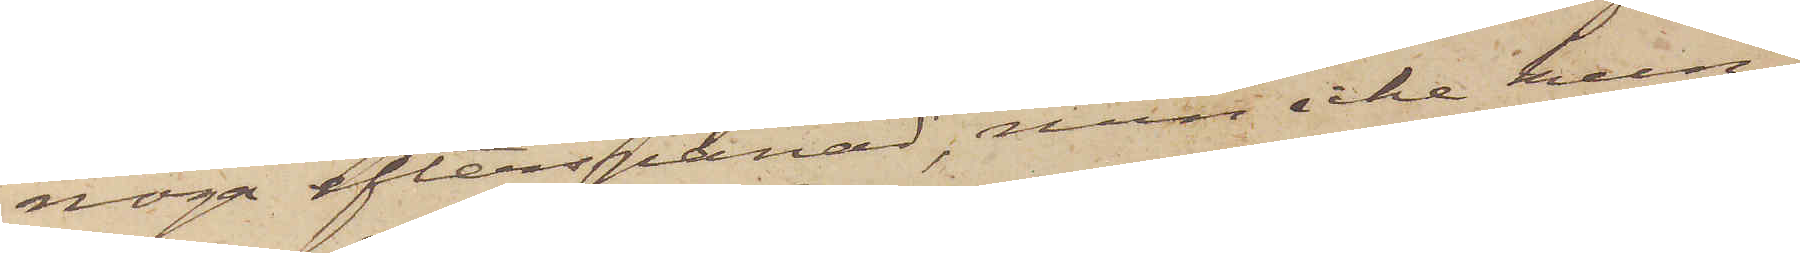noga efterspanad, men icke kun¬
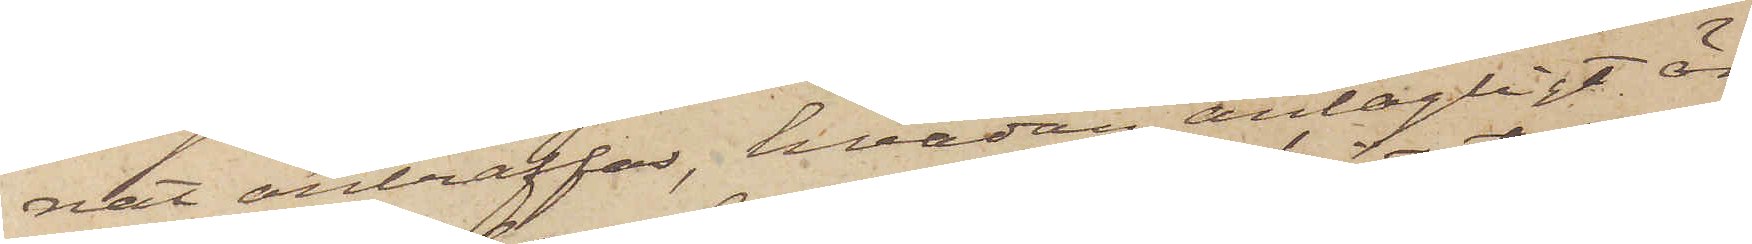nat anträffas, hvadan antagligt är,
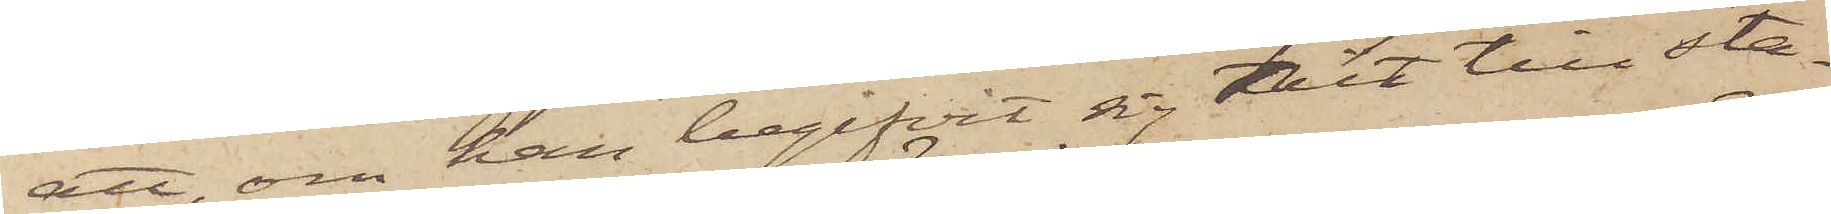att, om han begifvit sig hit till sta¬
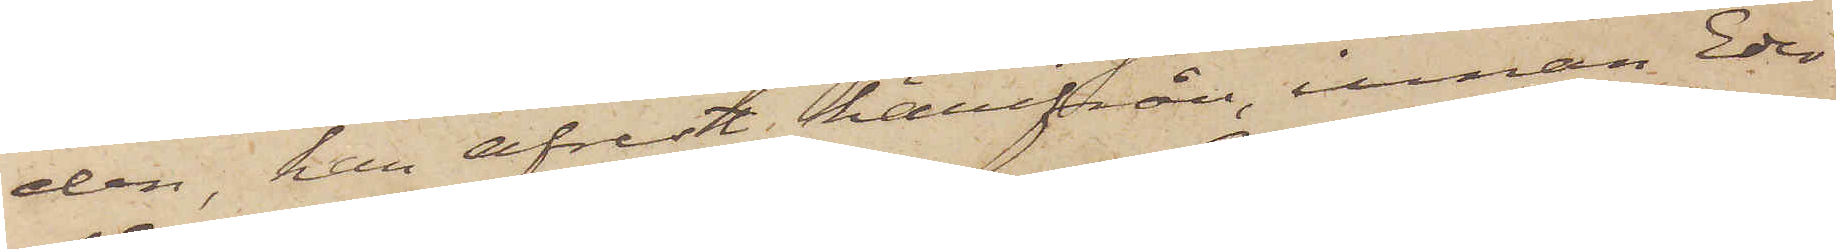den, han afrest härifrån, innan Eder
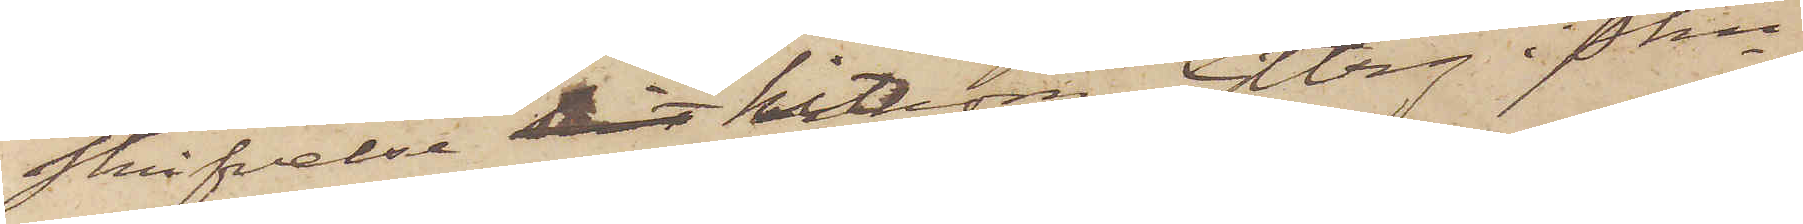skrifvelse dit hitkom. Gbrg i Pkn
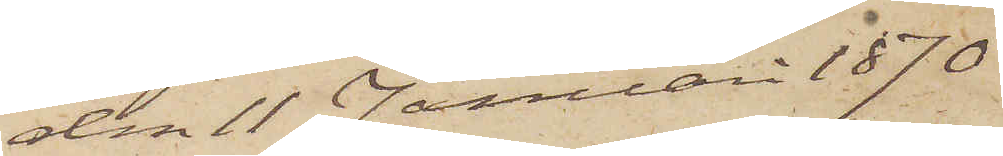den 11 Januari 1870
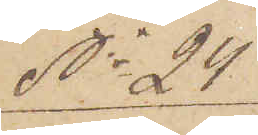No 24.
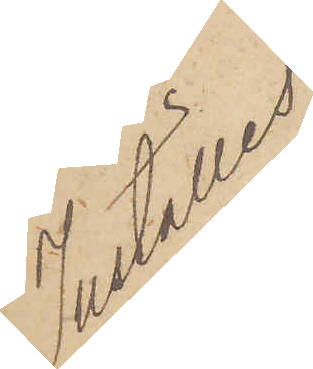Inställes
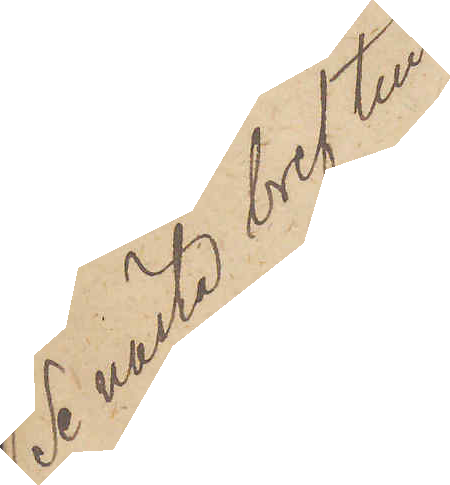(Se nästa bref till
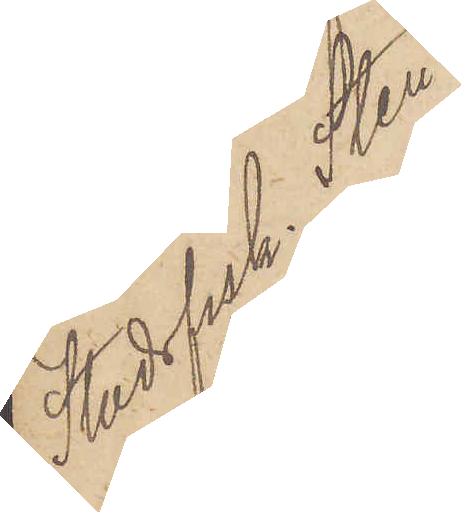Stadsfisk. Sten¬
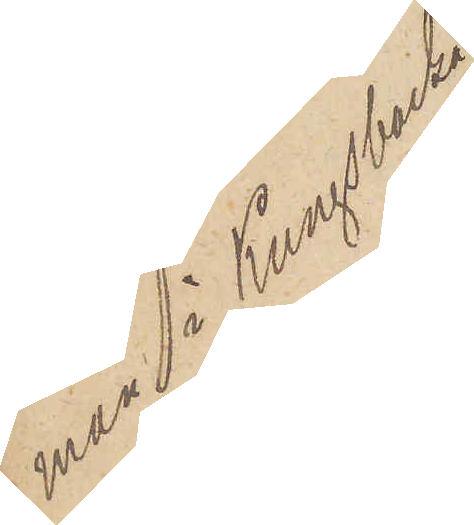man i Kungsbacka)
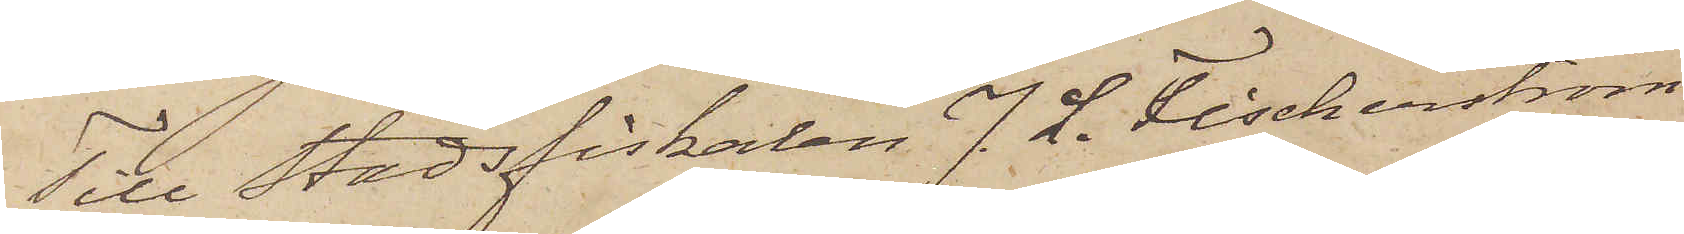Till Stadsfiskalen J. L. Fischerström
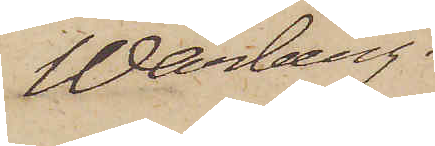 Warberg.
